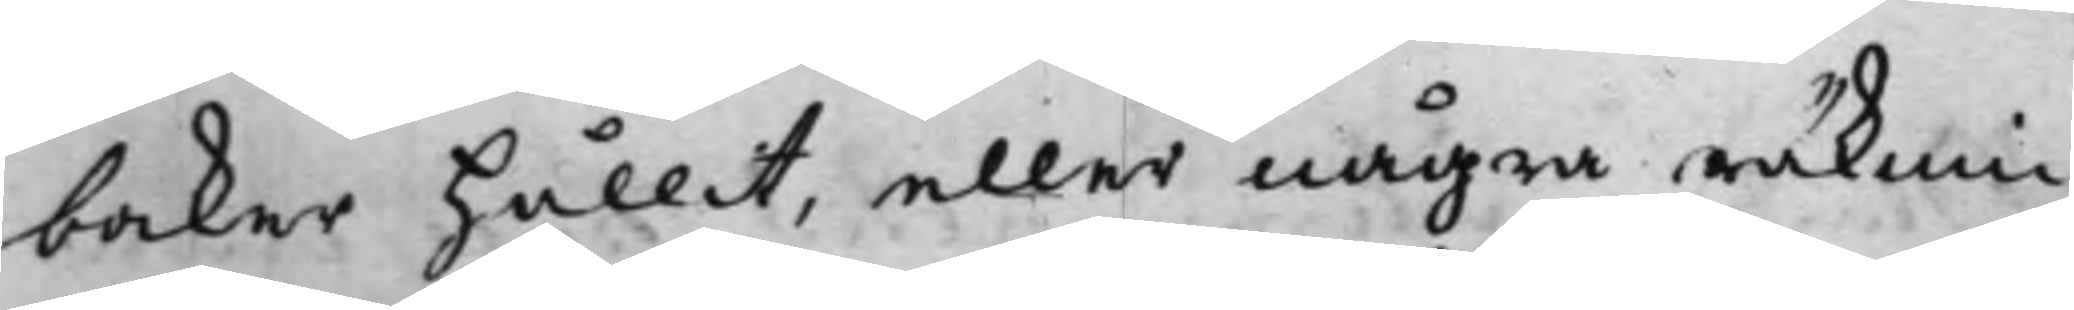böcker hållit, eller några räknin¬
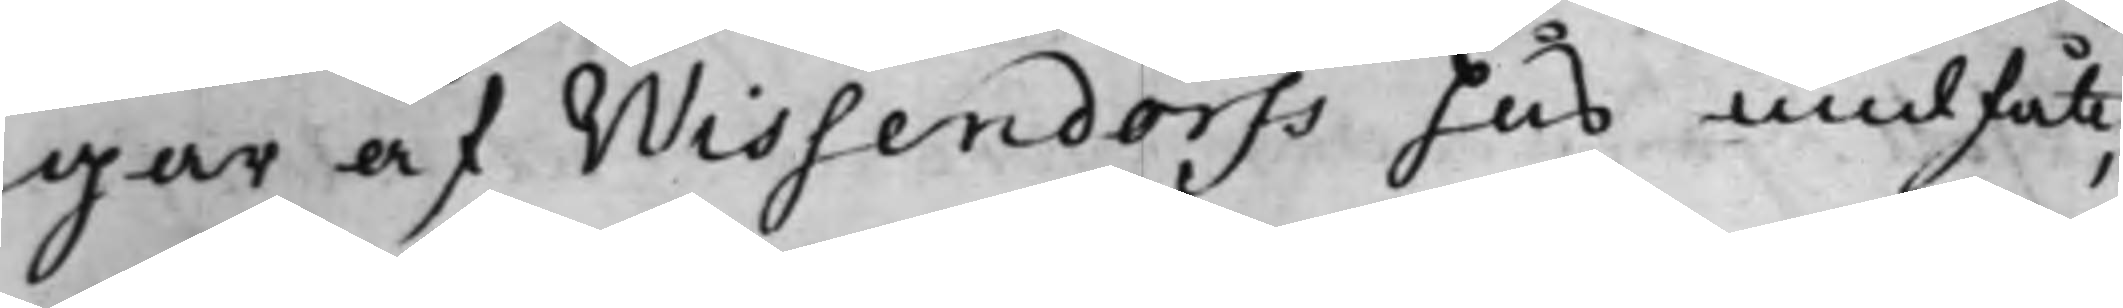gar af Wissendorfs hus undfått;
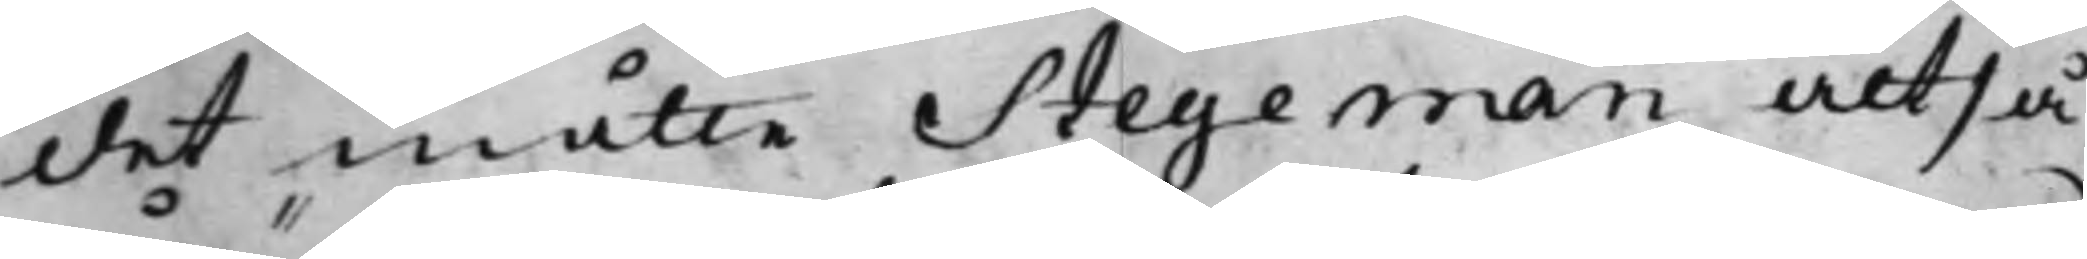det måtte Stegeman altså
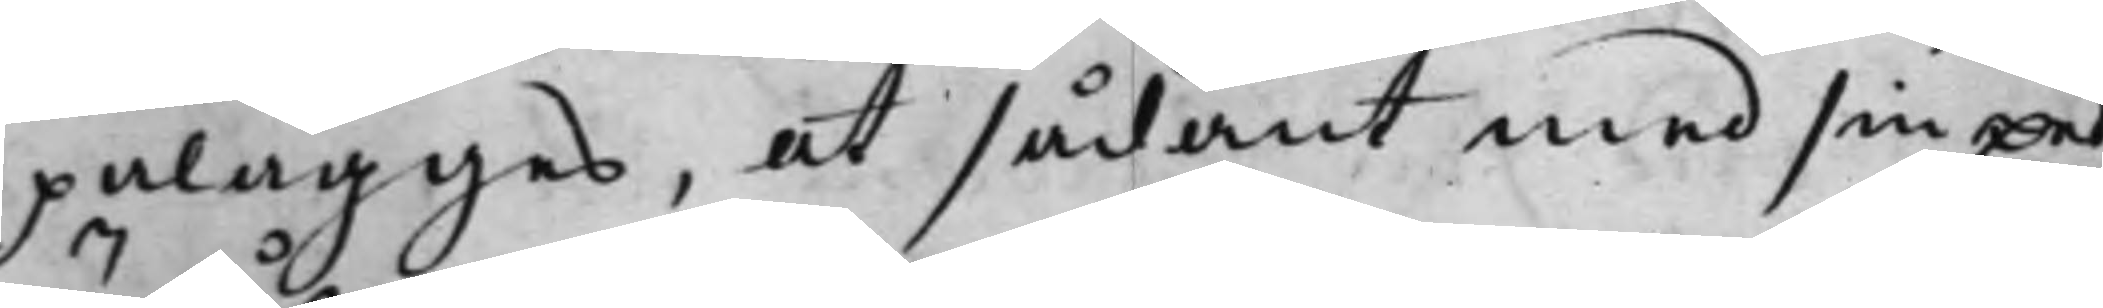pålägges, at sådant med sin Eed
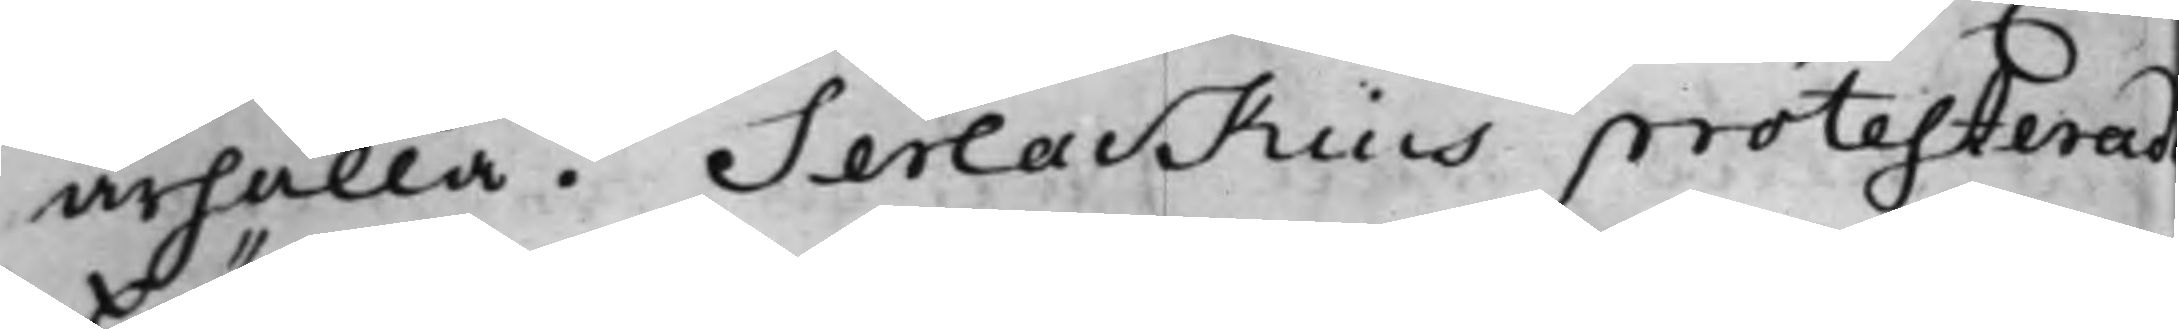ärhålla. Serlackius protesterade
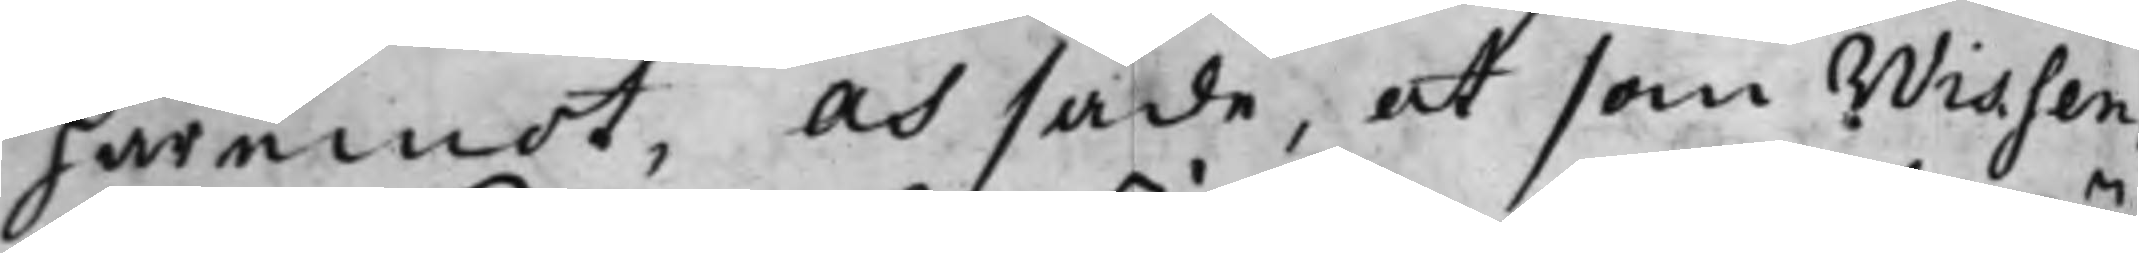häremot, och sade, at som Wissen¬
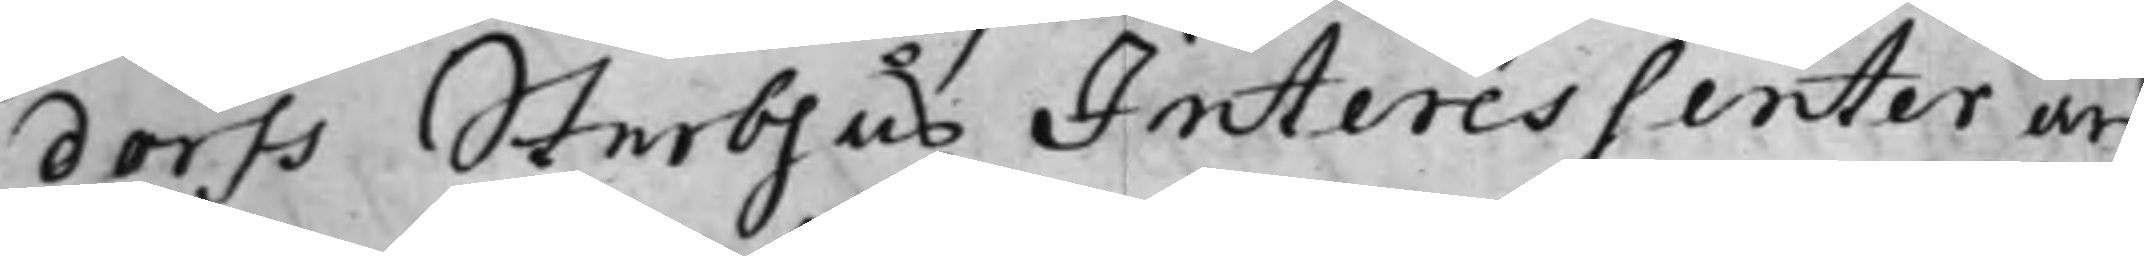dorfs Sterbhus Interessenter äro
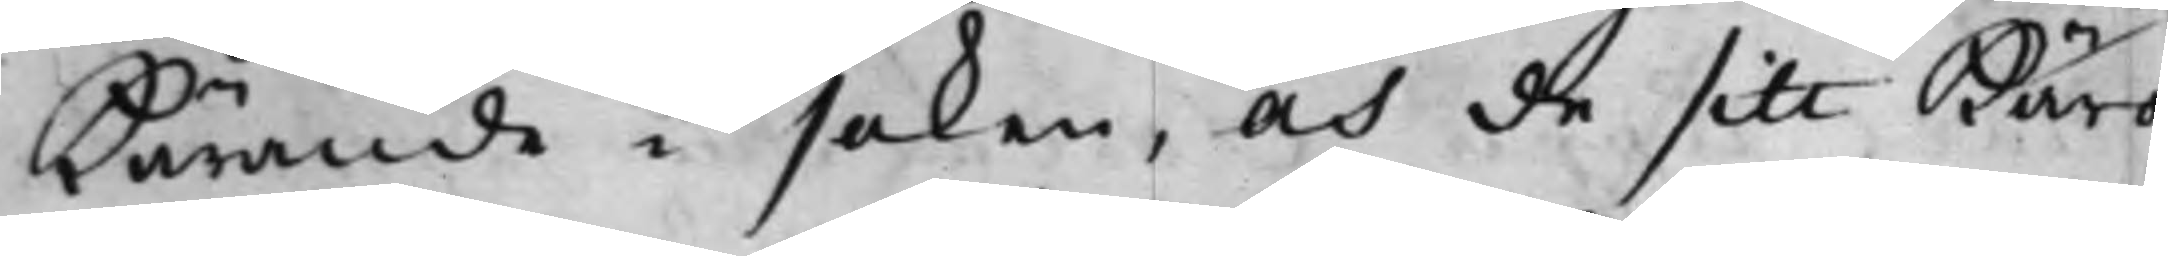kärande i saken, och de sitt Käro¬
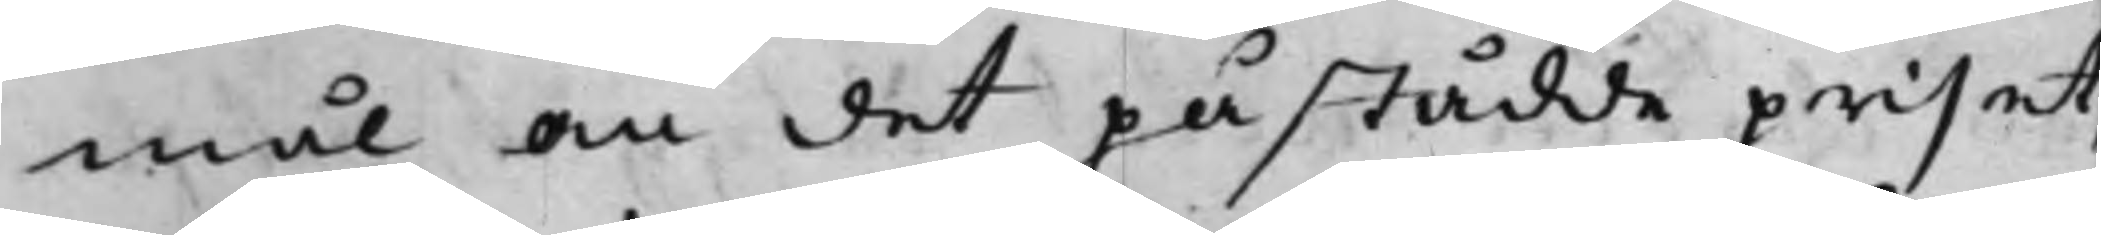mål om det påstådde priset,
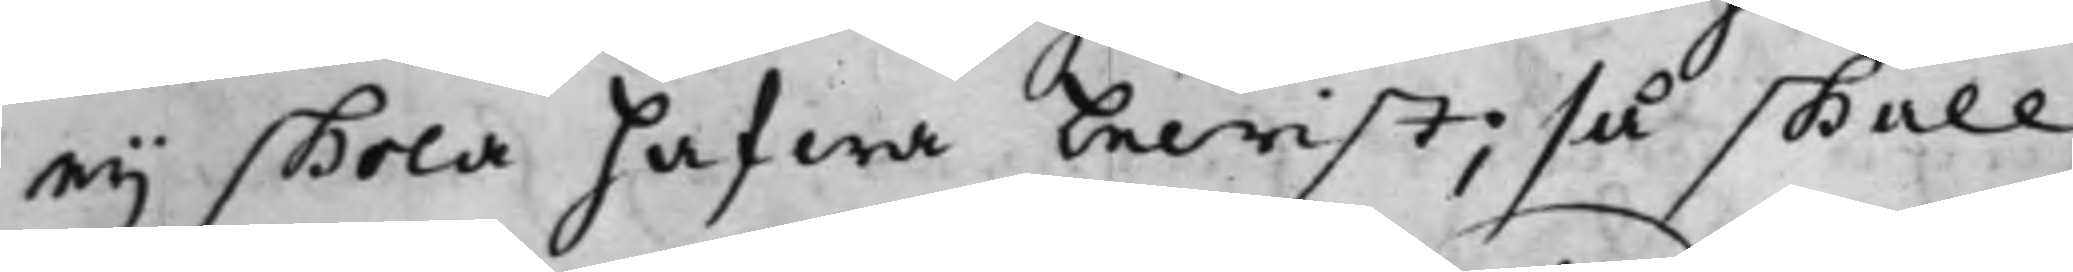ey skola hafwa bewist; så skall
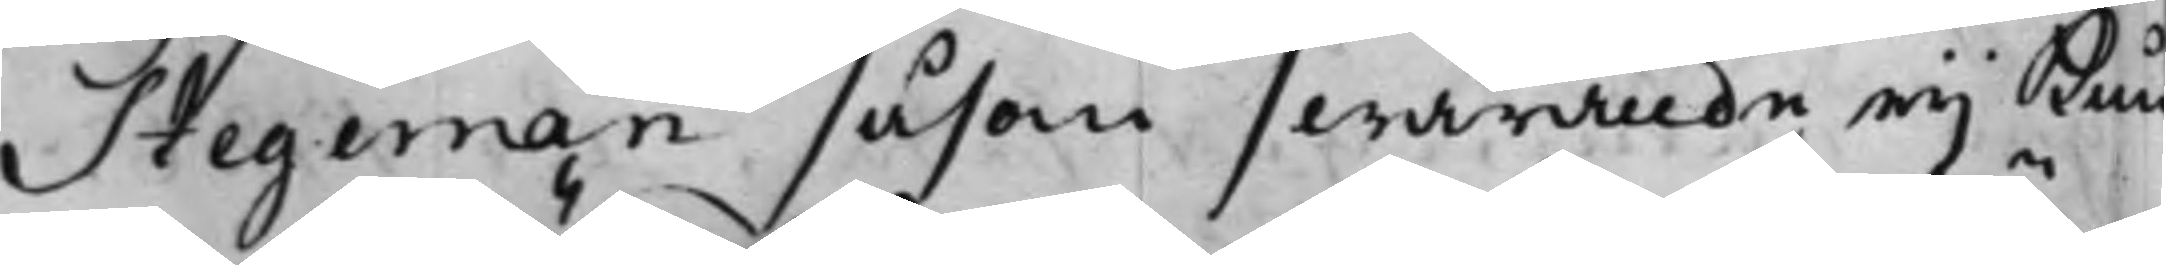Stegeman såsom swarande ey kun¬
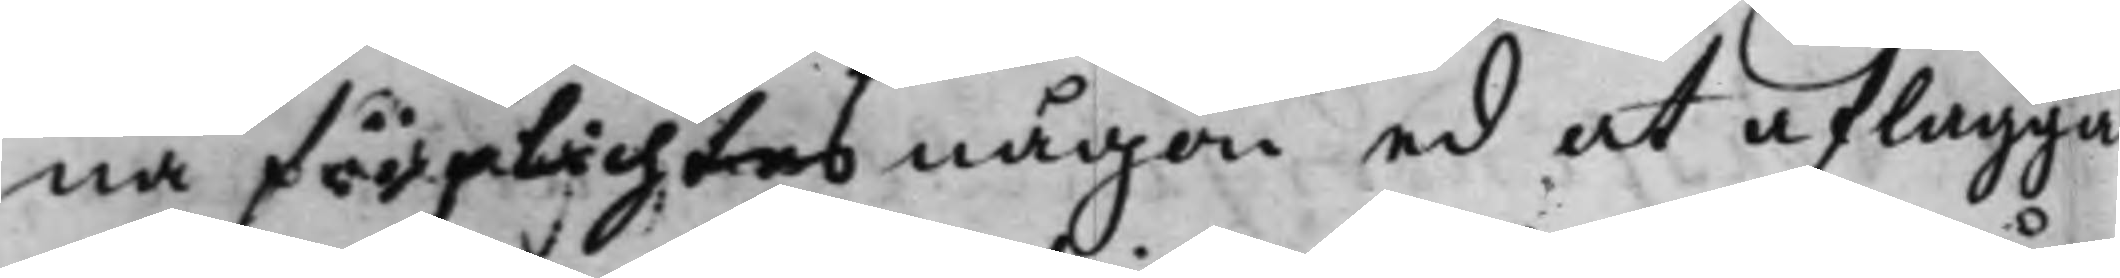na förplichtes någon ed at aflägga
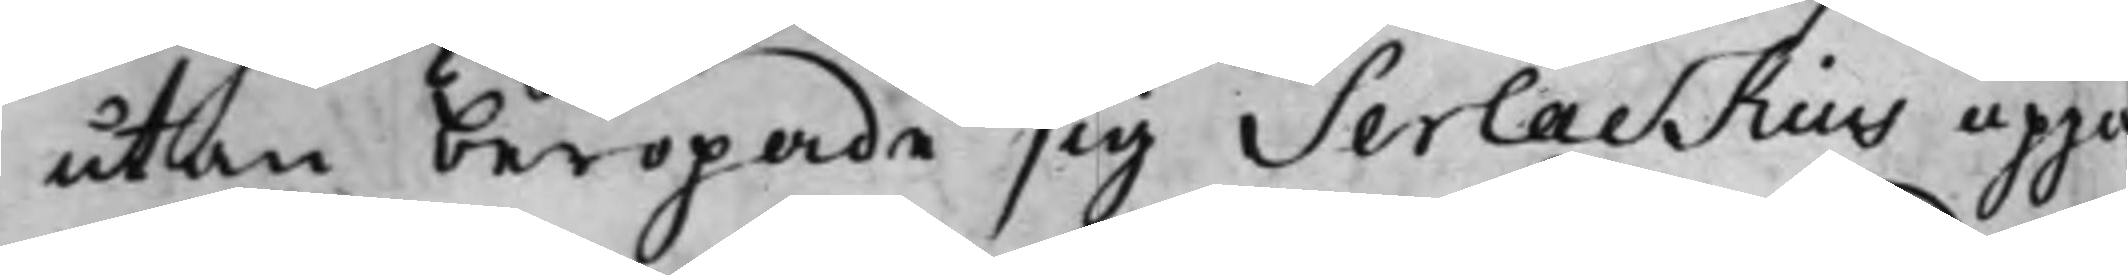utan beropade sig Serlackius uppa
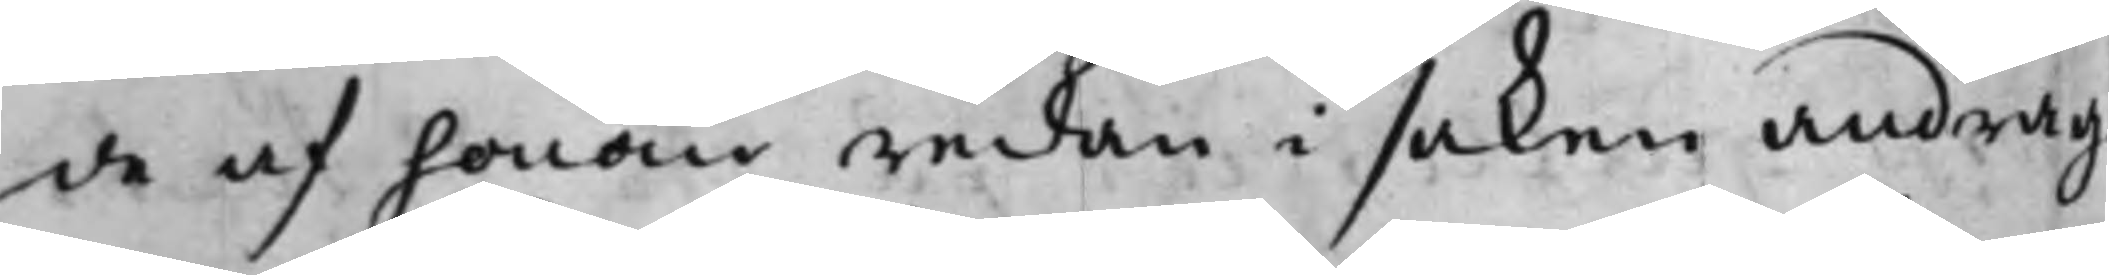de af honom redan i saken andrag¬
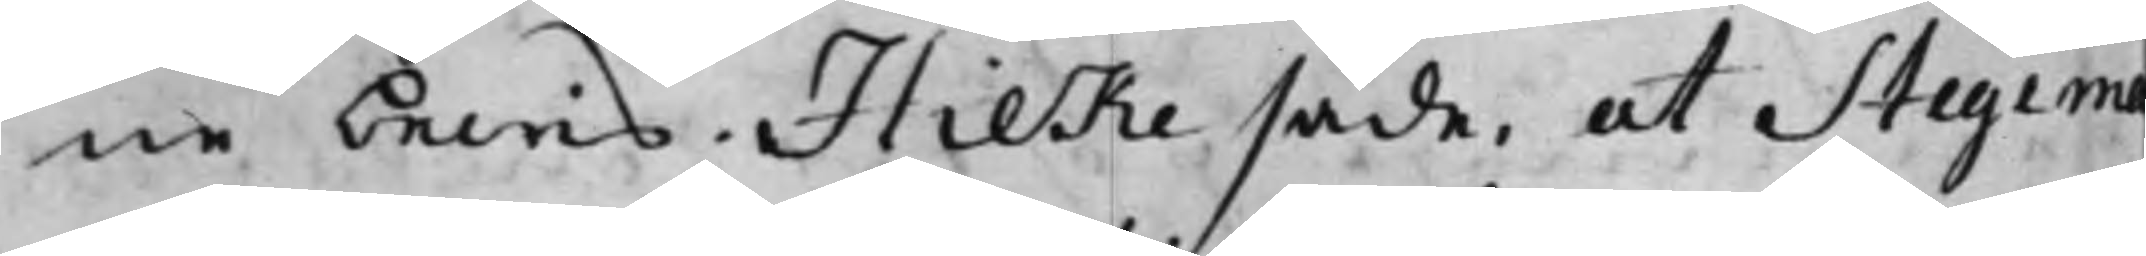ne bewis. Hilke sade, at Stegema
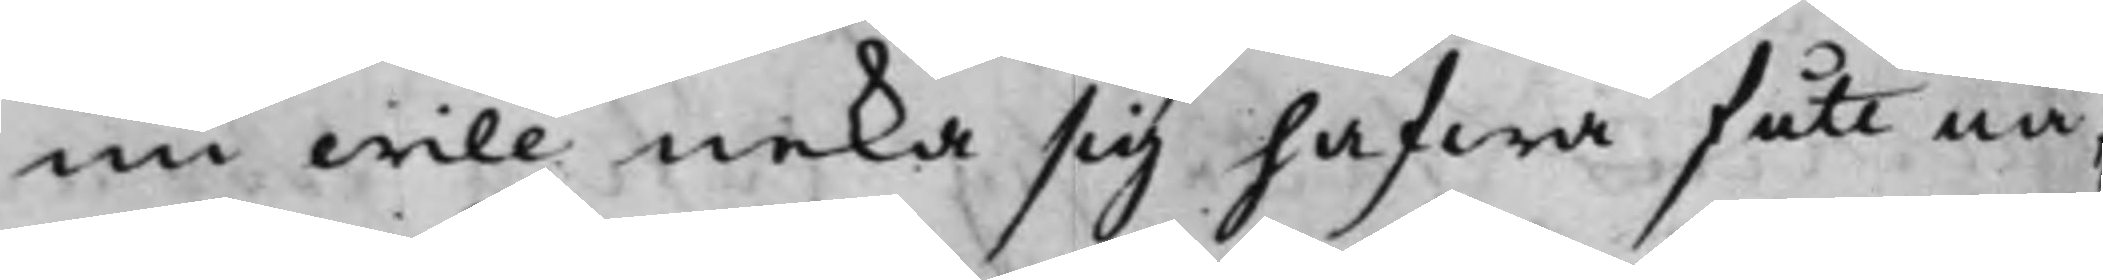nu will neka sig hafwa fått nå¬
